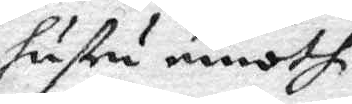hustru emoth
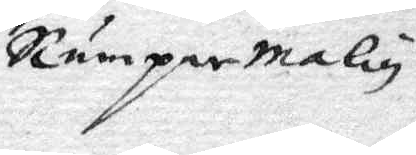RumpareMalin.
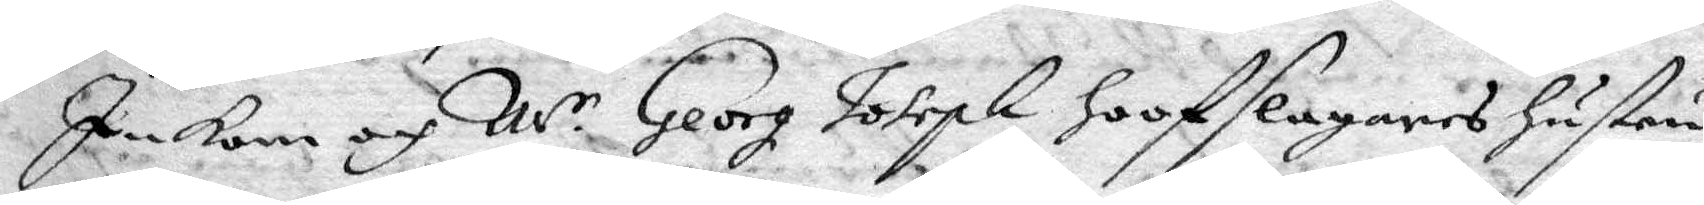Inkom och Mr Georg Joseph hoofslagares hustru
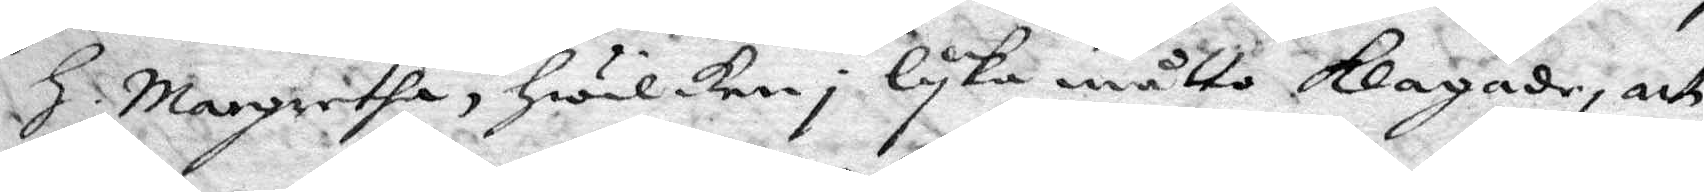h. Margretha, hwilken i lyka måtto klagade, och
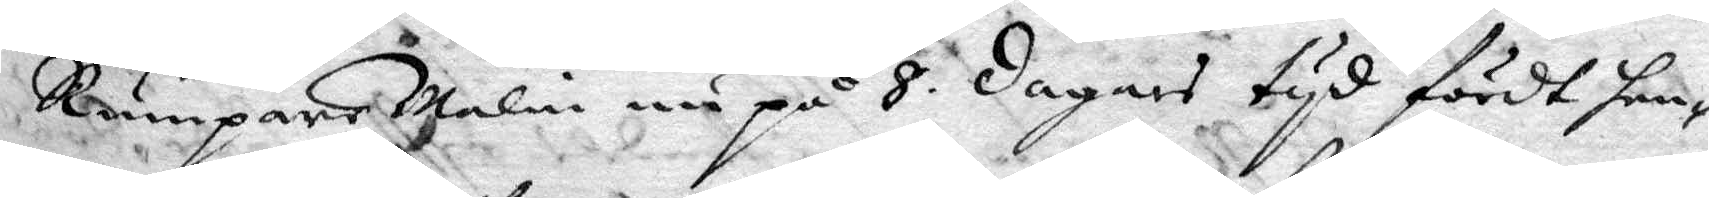RumpareMalin nu på 8 dagars tyd fördt hen¬
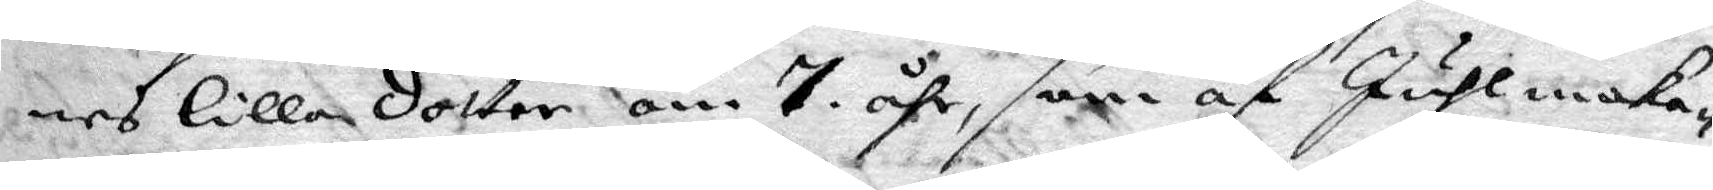nes lilla dotter om 7. åhr, som af Juhlmaka¬
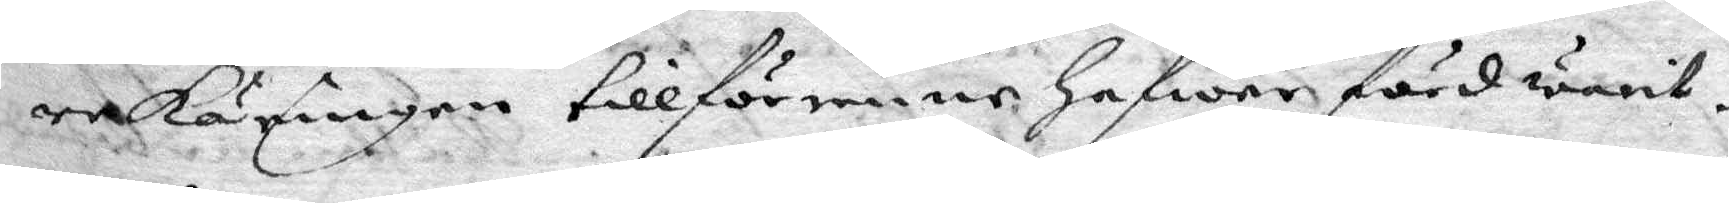rekäringen tillförenne hafwer förd warit.
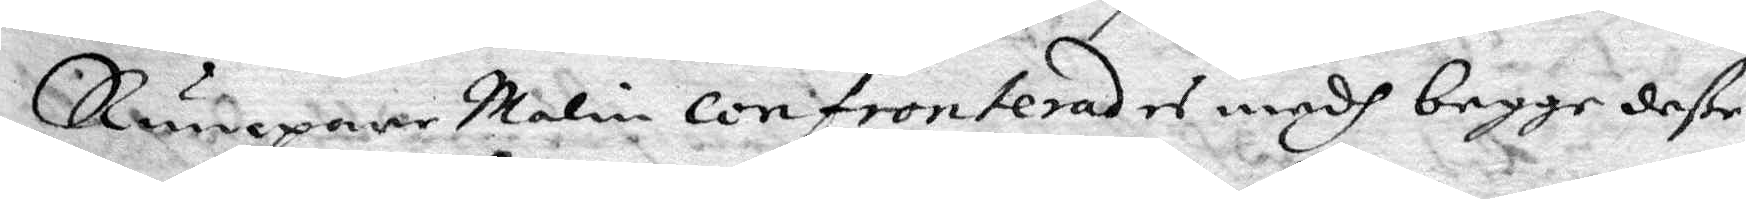Rumpare Malin confronterades medh begge deße
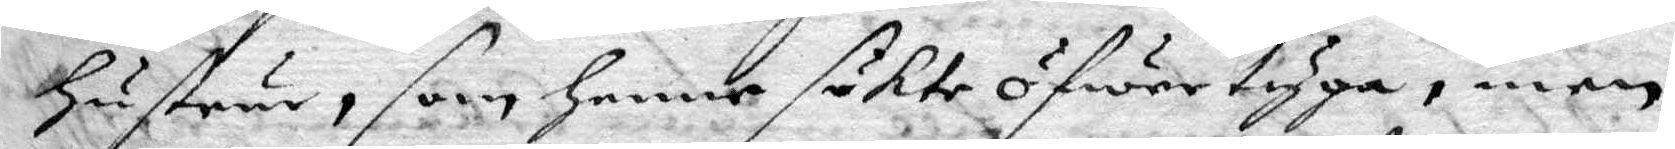hustru, som henne sökte öfwertyga, men
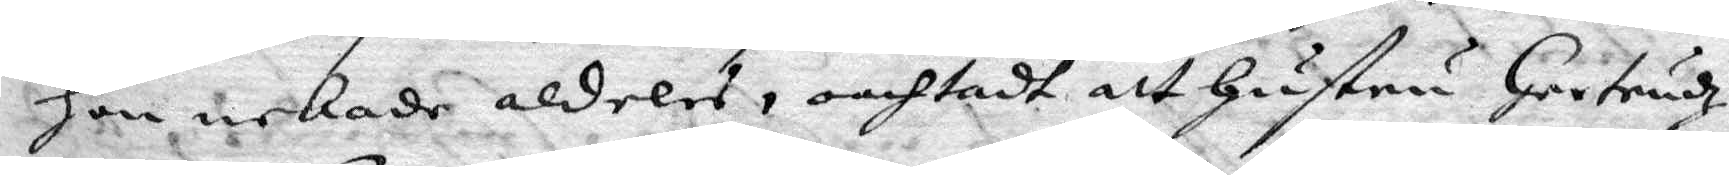hon nekade aldeles, omhtadt att hustru Gertrudz
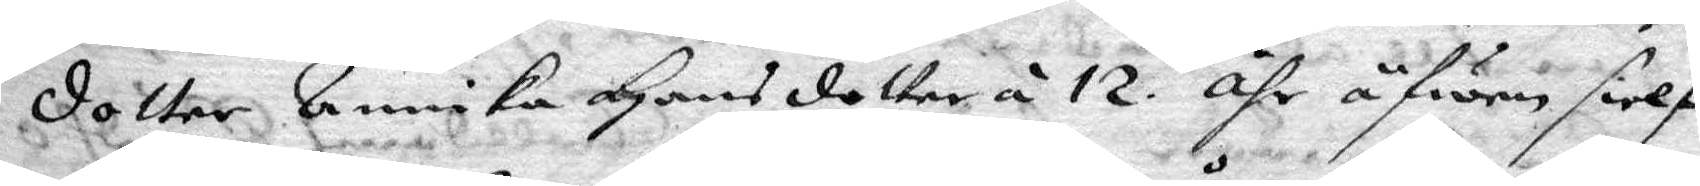dotter Annika Hansdotter å 12 åhr äfwen sielf
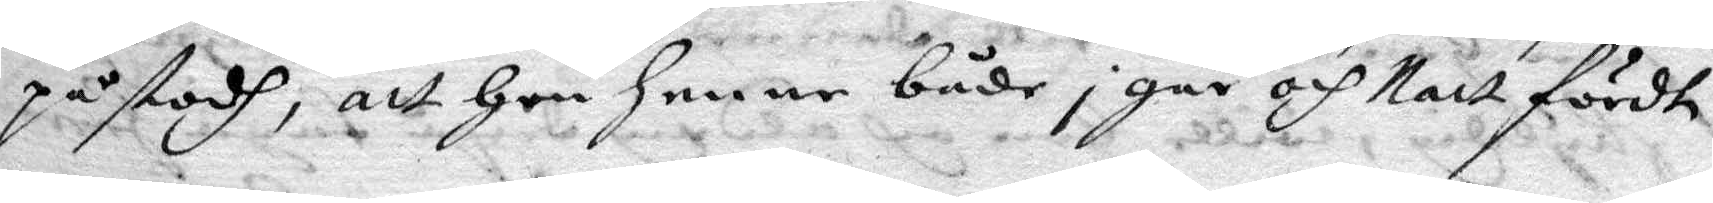påstodh, att hon henne både i går och Natt fördt
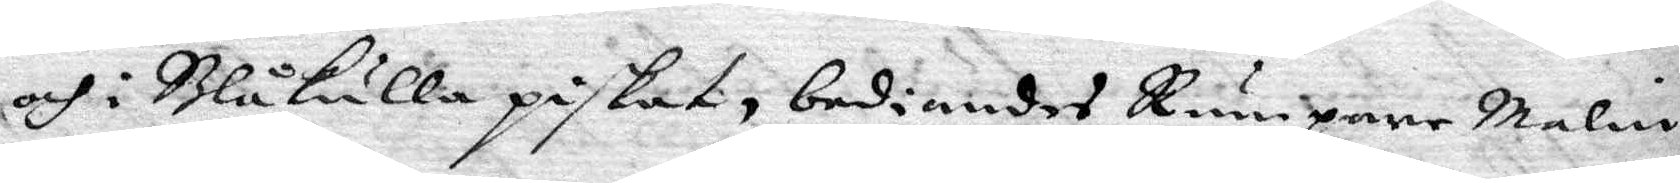och i Blåkulla piskat, bediandes Rumpare Malin
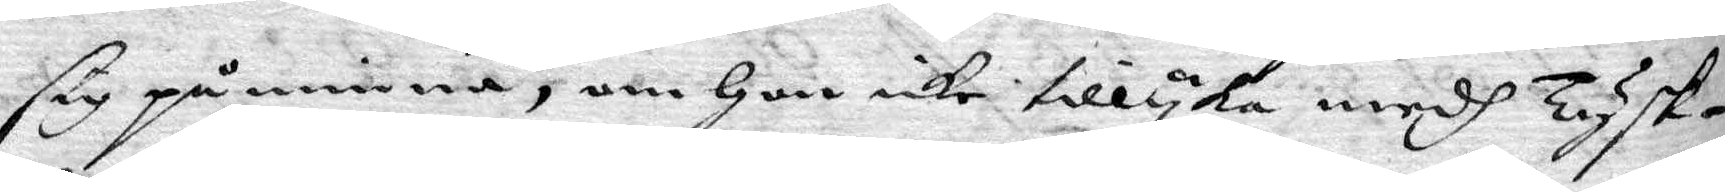sig påminna, om hon icke tillyka medh Tysk¬
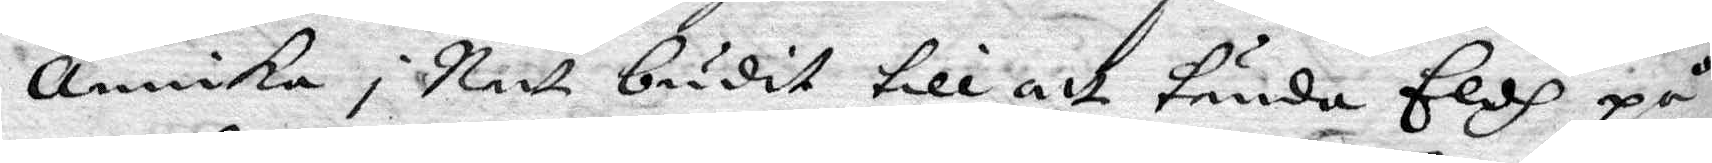Annika i natt budit till att tända Eldh på
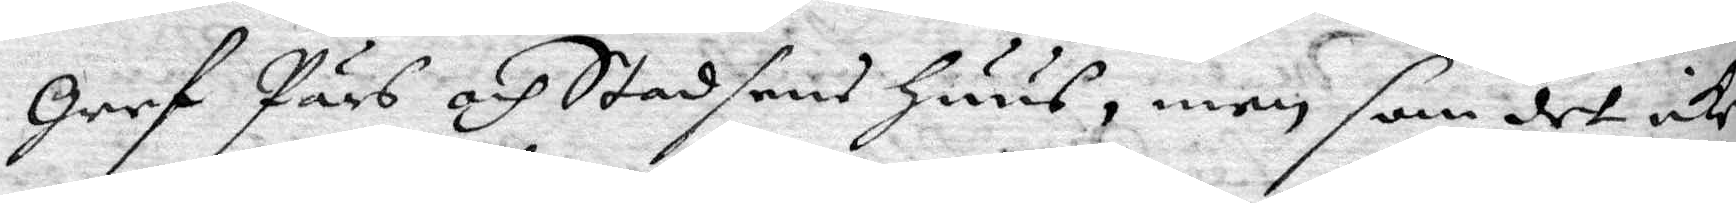Gref Pärs och Stadsens huus, men som det icke
